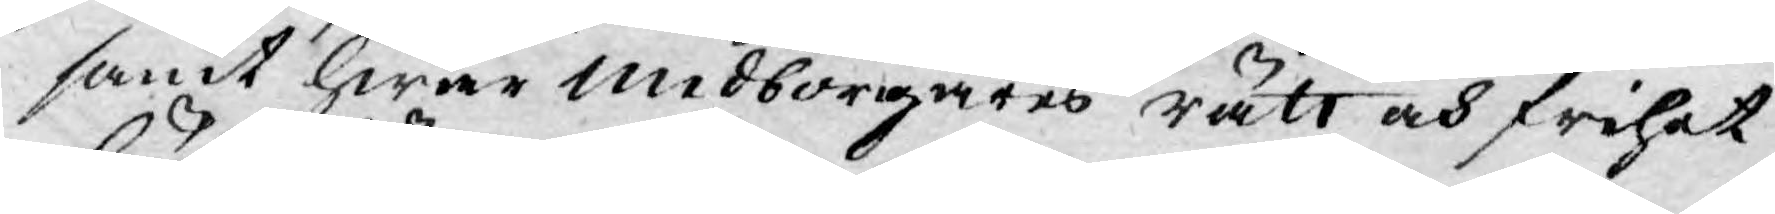samt hwar Medborgares rätt och frihet
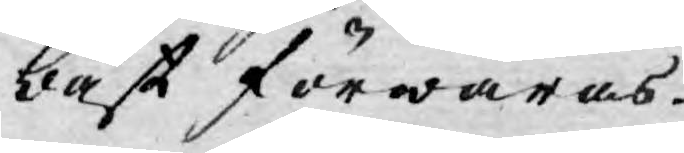bäst förwaras.
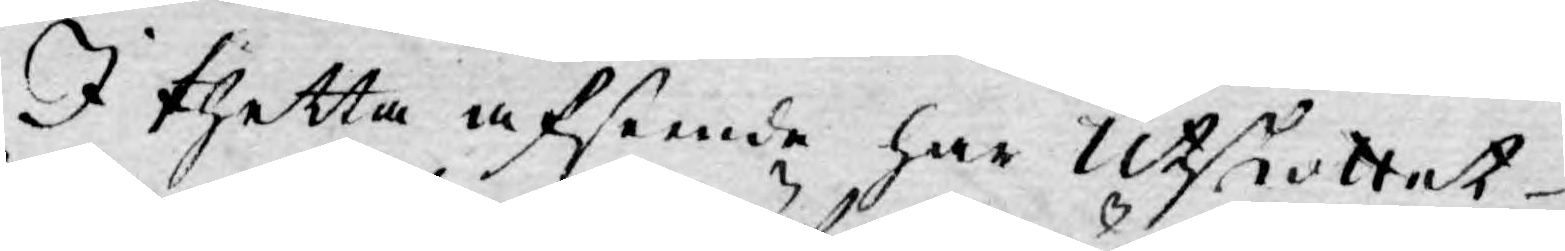I thetta afseende har Utskottet
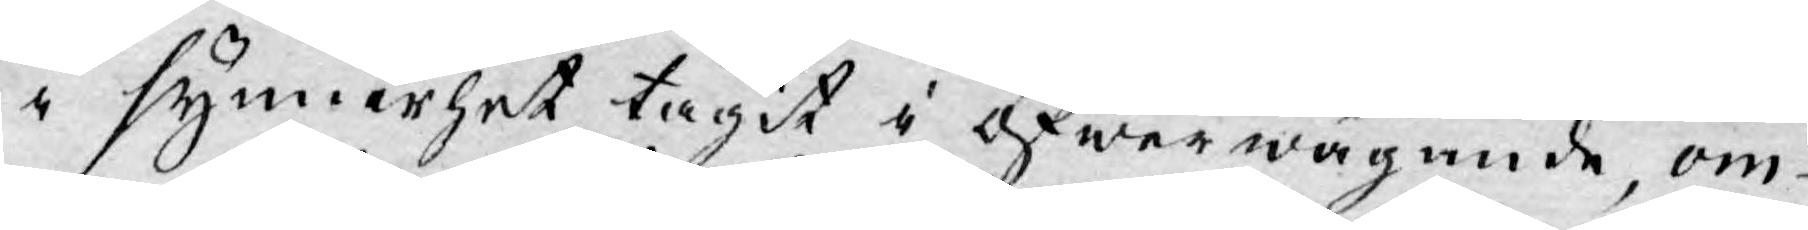i synnerhet tagit i öfwerwägande, om
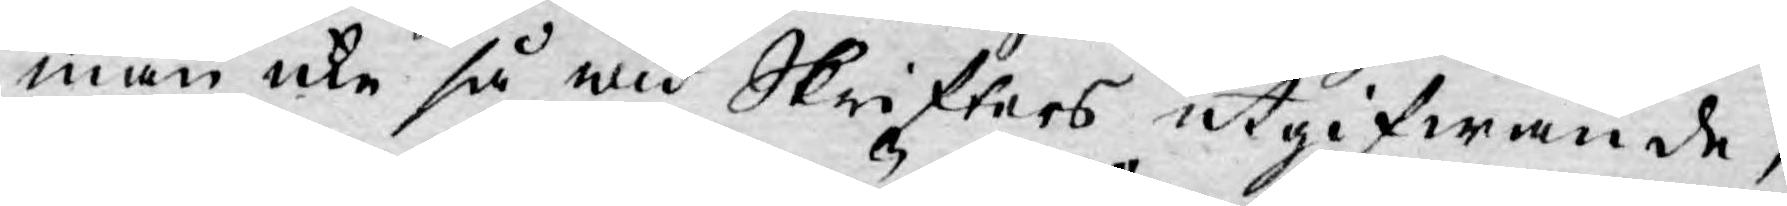man icke så wid Skrifters utgifwande,
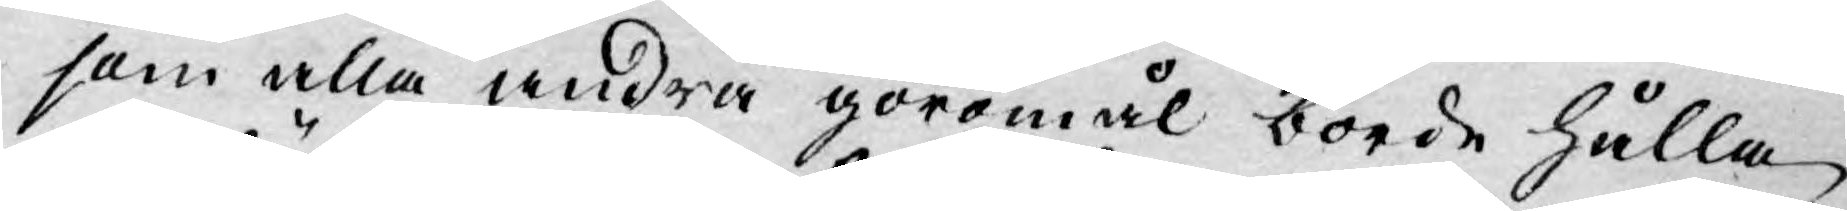som alla andra göromål borde hålla
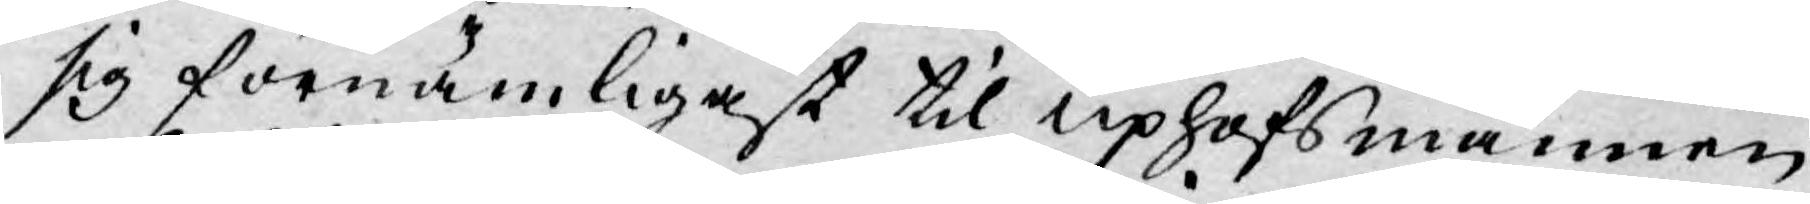sig förnämligast til Uphofsmannen,
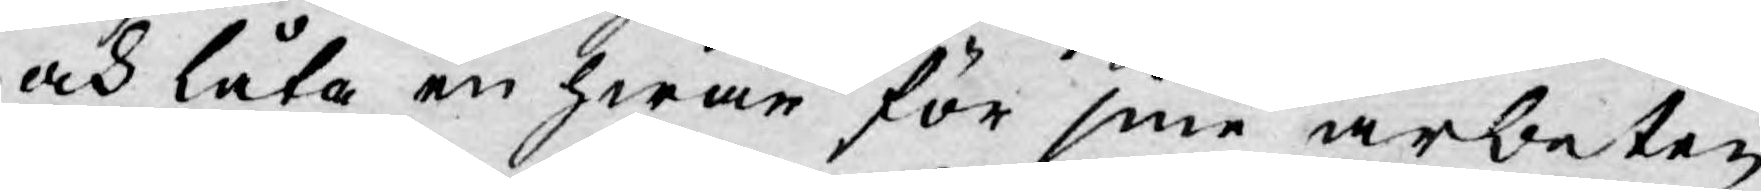och låta en hwar för sine arbeten
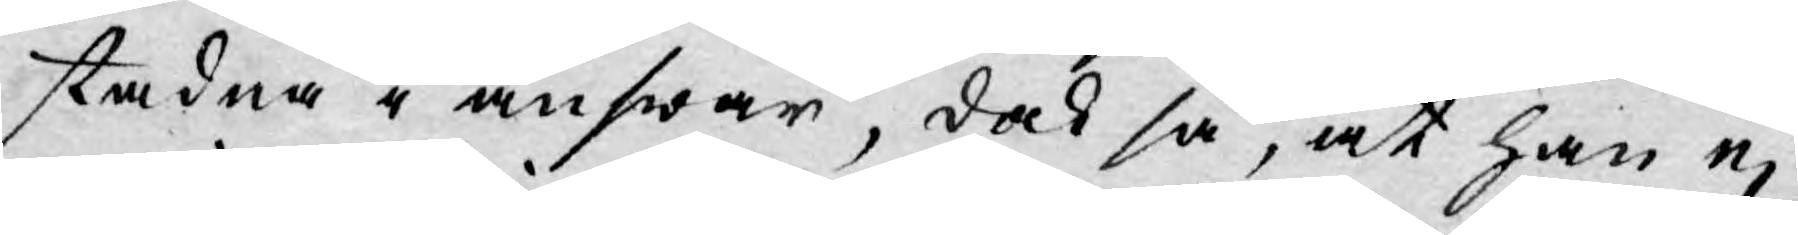stadna i answar, dock så, at han ej
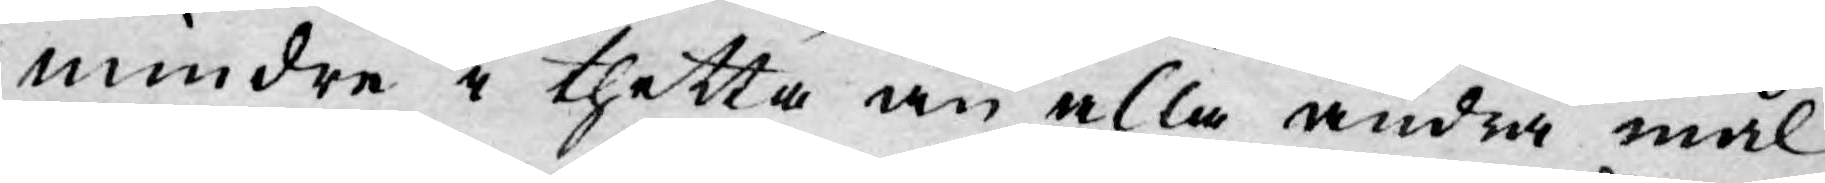mindre i thetta än alla andra mål
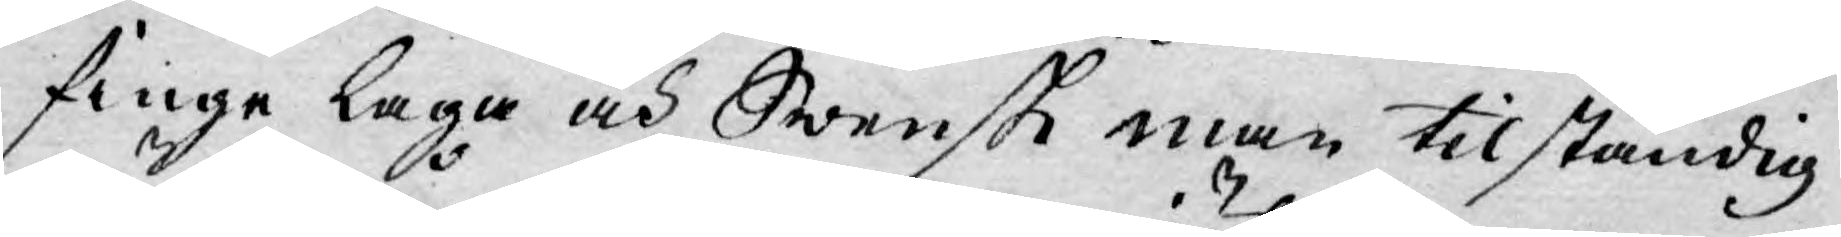finge laga och Swensk man tilständig
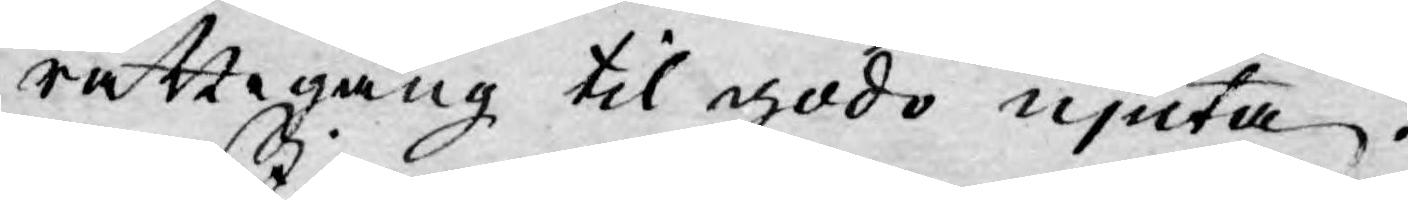rättegång til godo njuta.
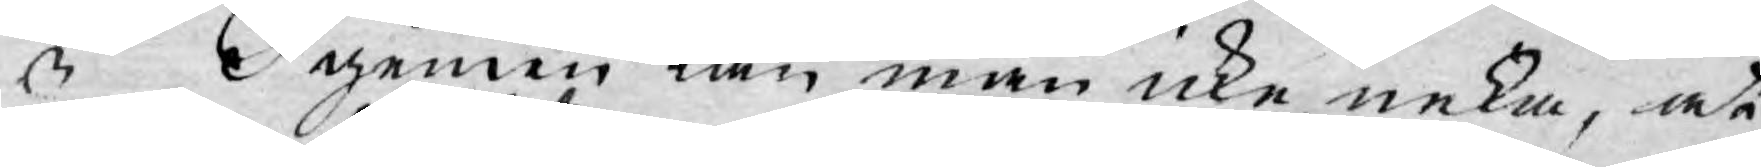I gemen kan man icke neka, at
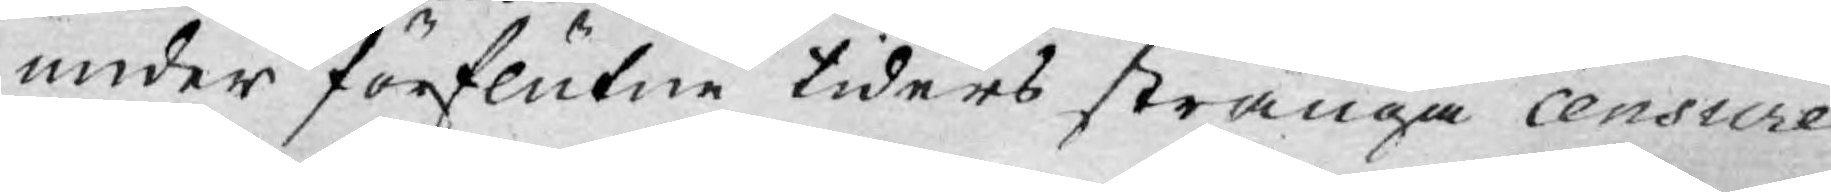under förflutne tiders stränga censure
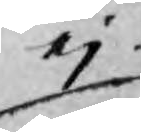ej
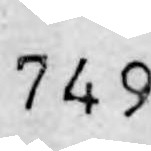749
